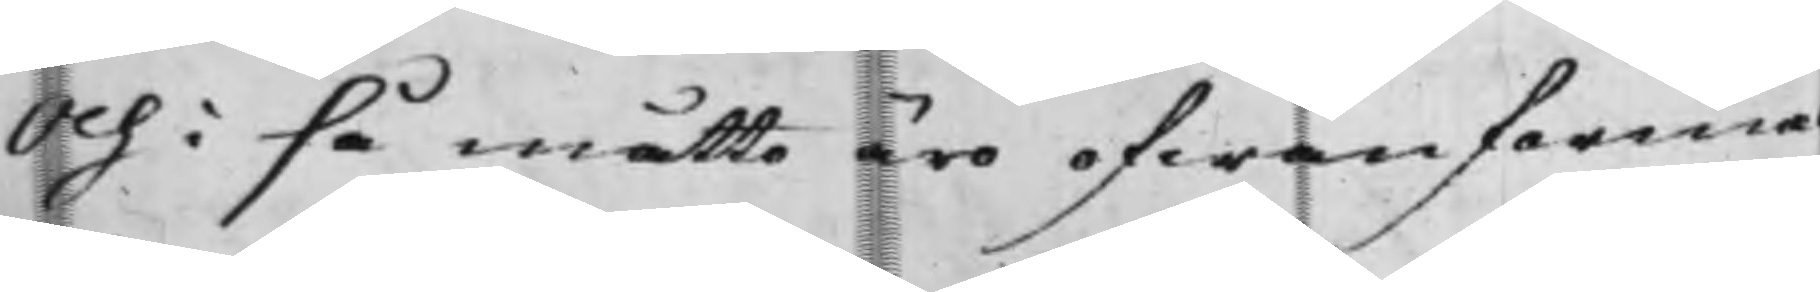Och i så måtto äro ofwanförmäl¬
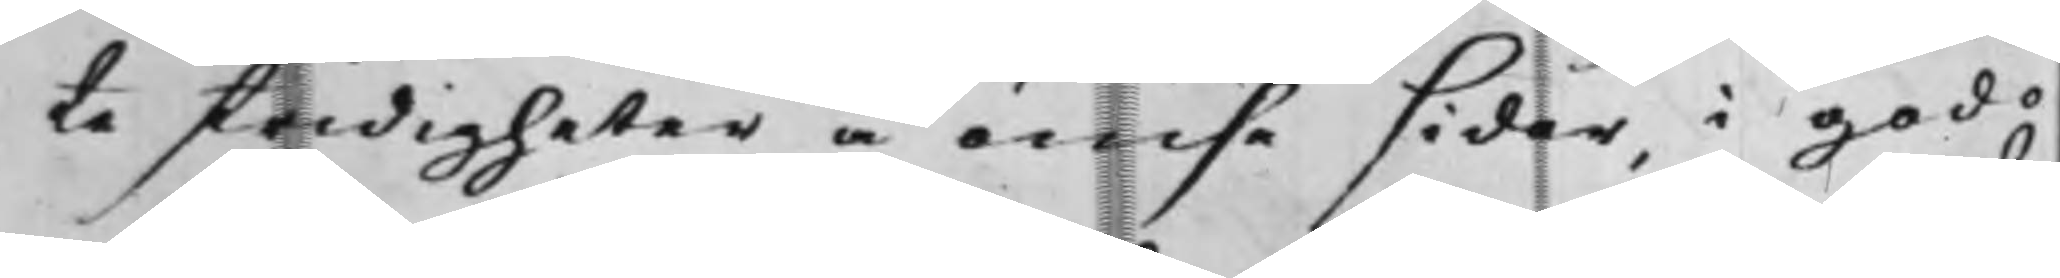te stridigheter å ömse sider i godo
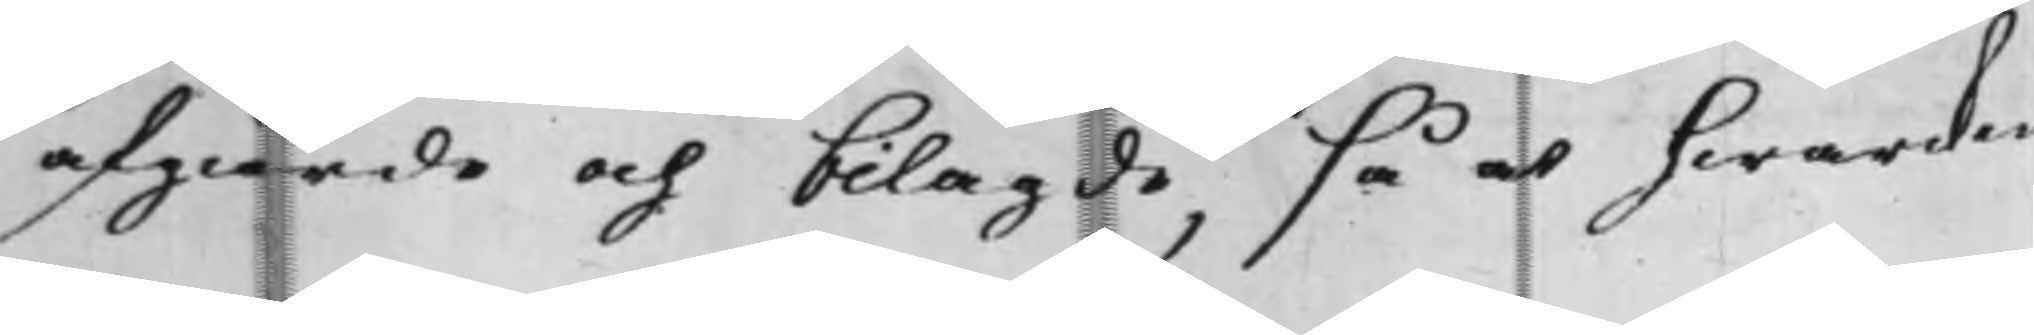afgiorde och bilagde, så at hwarken
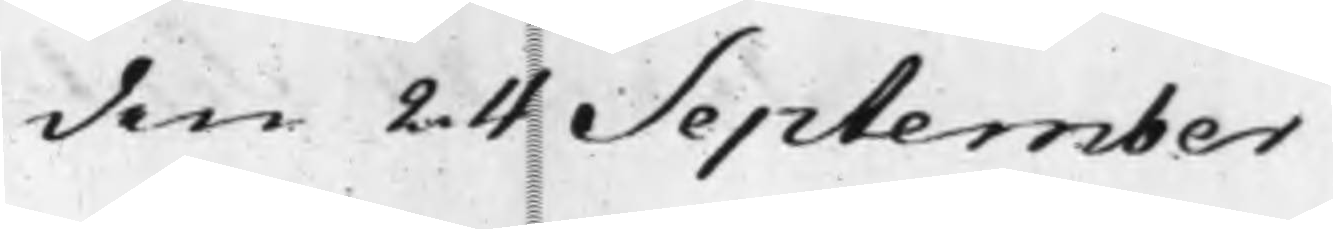den 24 September
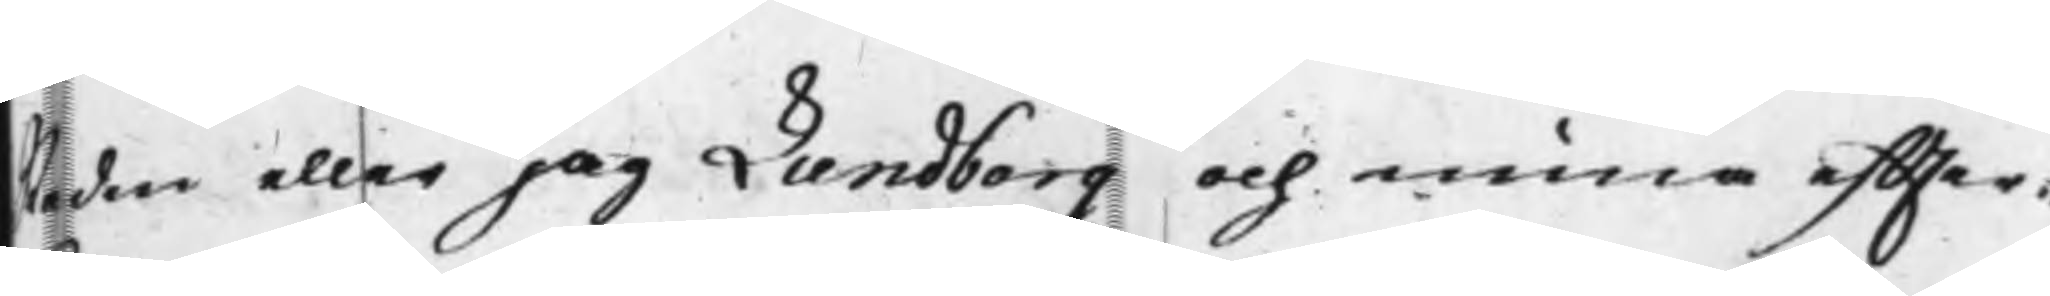Staden eller jag Lundborg och mina effter¬
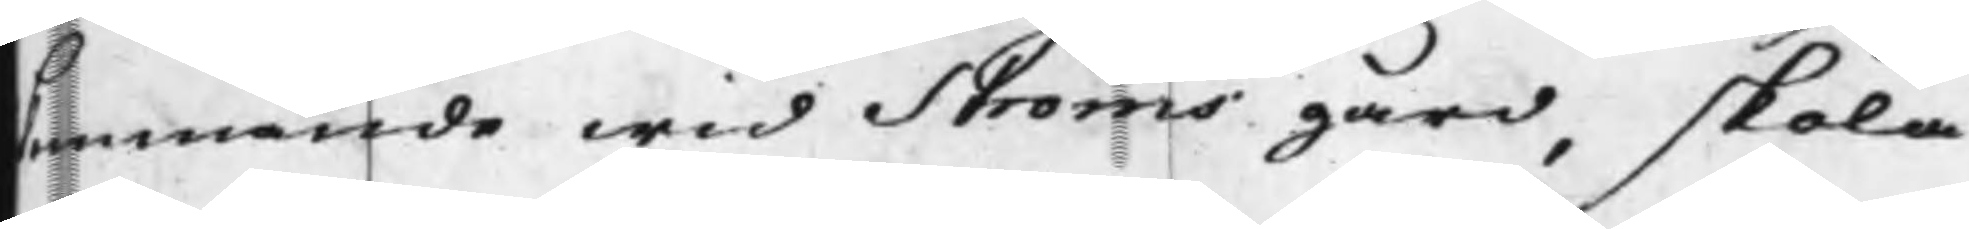kommande wid Ströms gård, skola
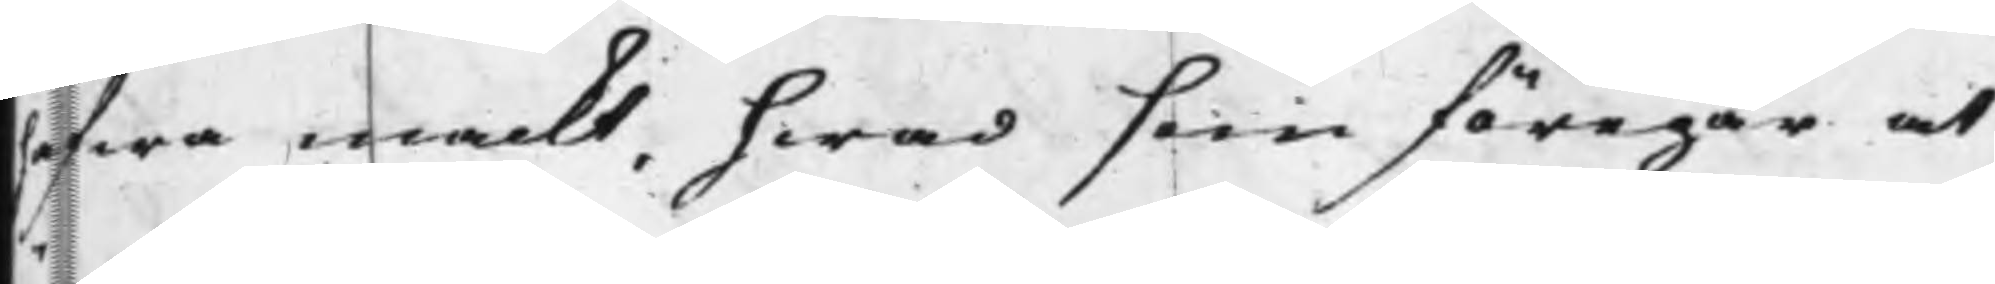hafwa mackt, hwad som föregår at
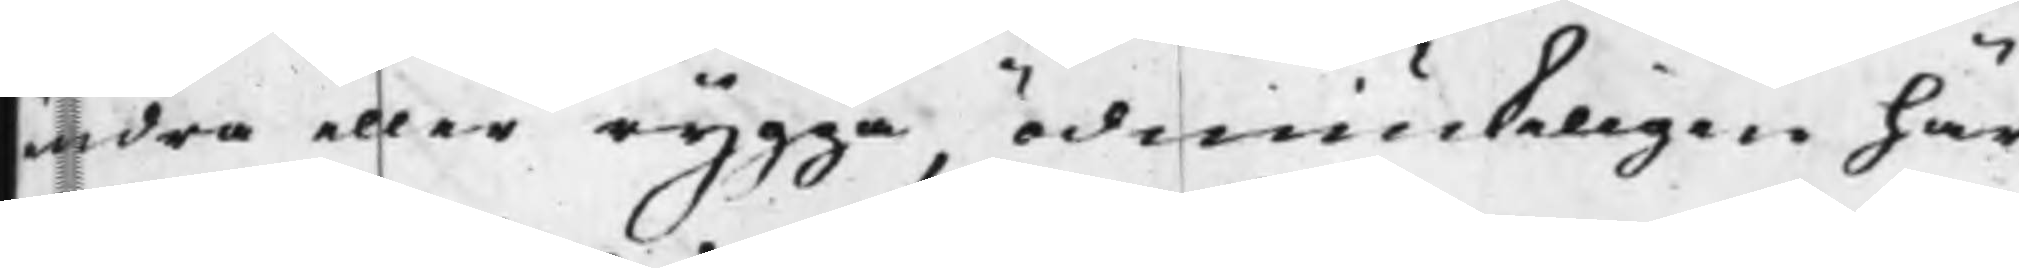ändra eller rygga, ödmiukeligen här¬
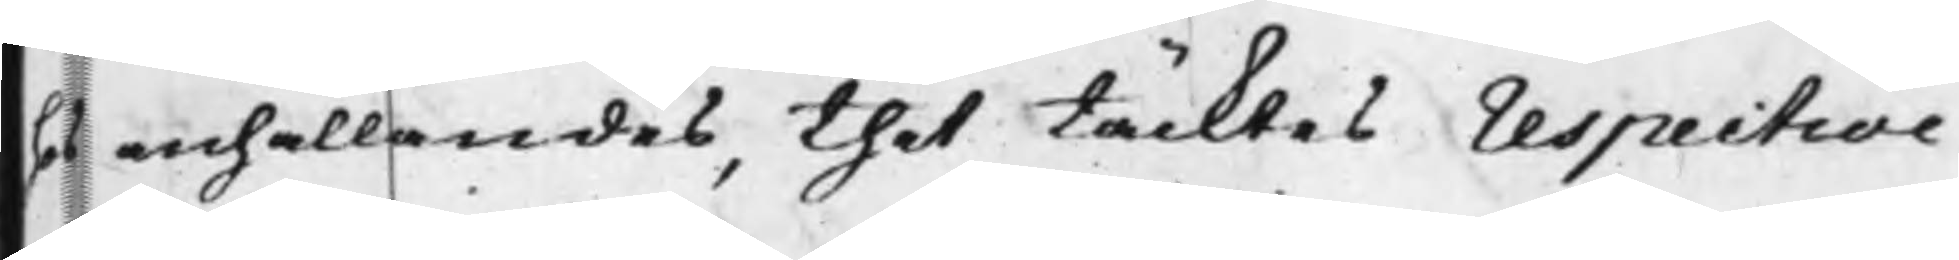på anhållandes, thet täcktes respective
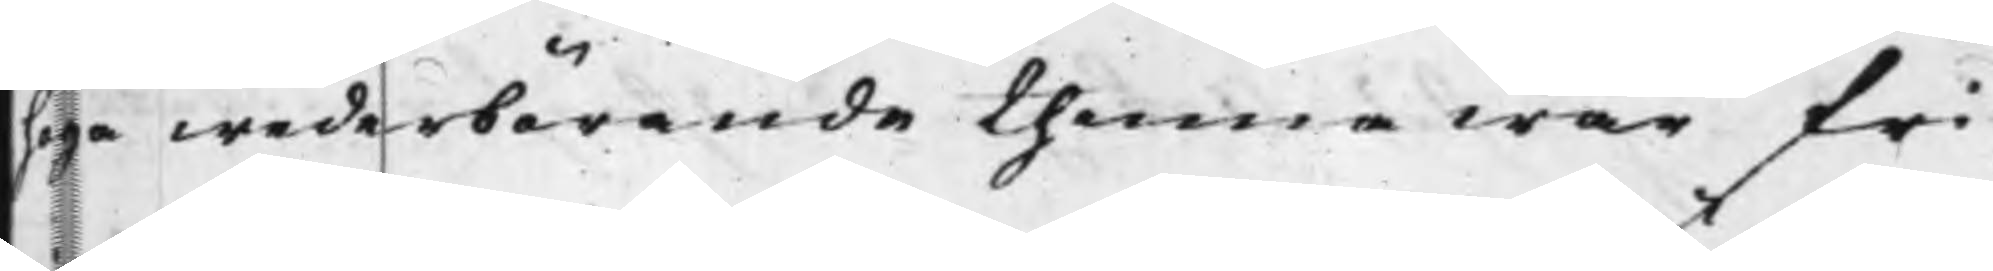höga wederbörende thenne wår fri¬
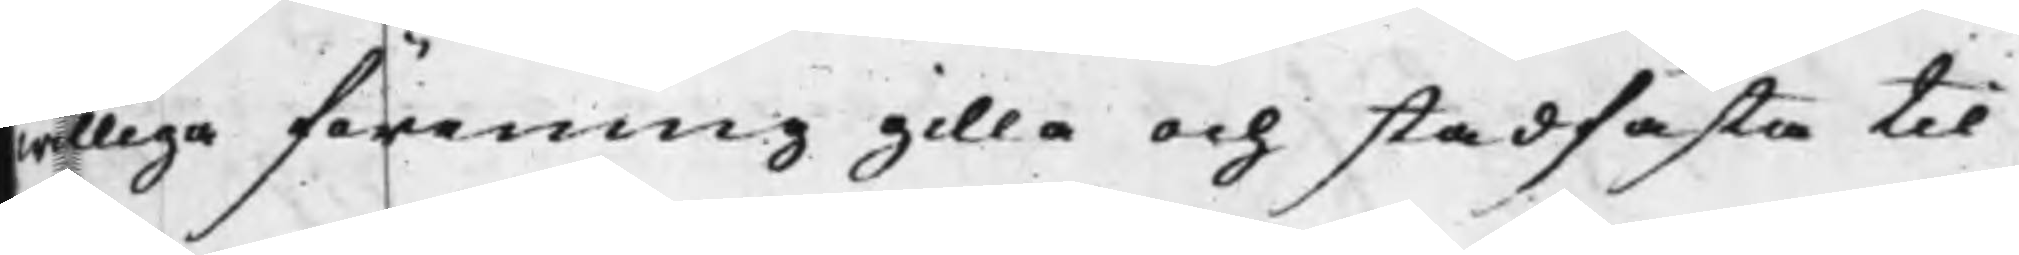williga förening gilla och stadfästa til
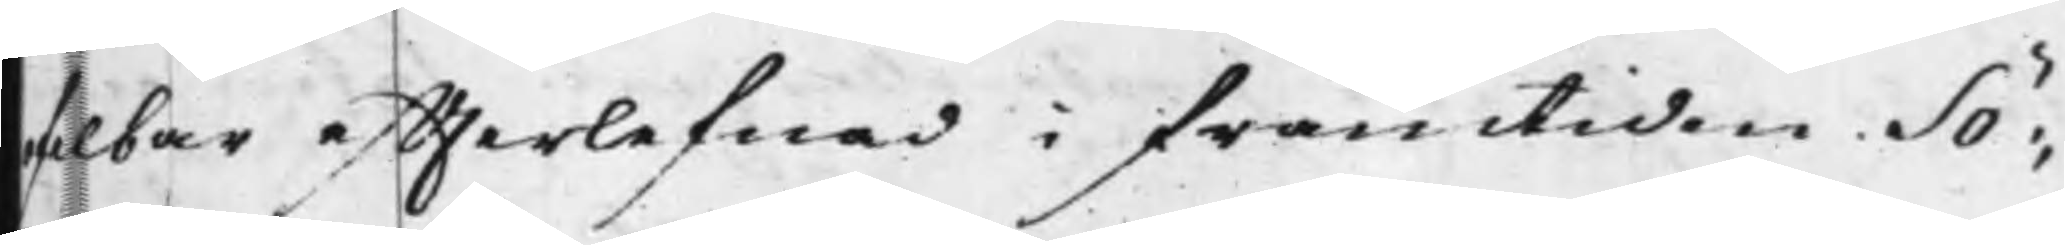ofelbar effterlefnad i framtiden. Sö¬
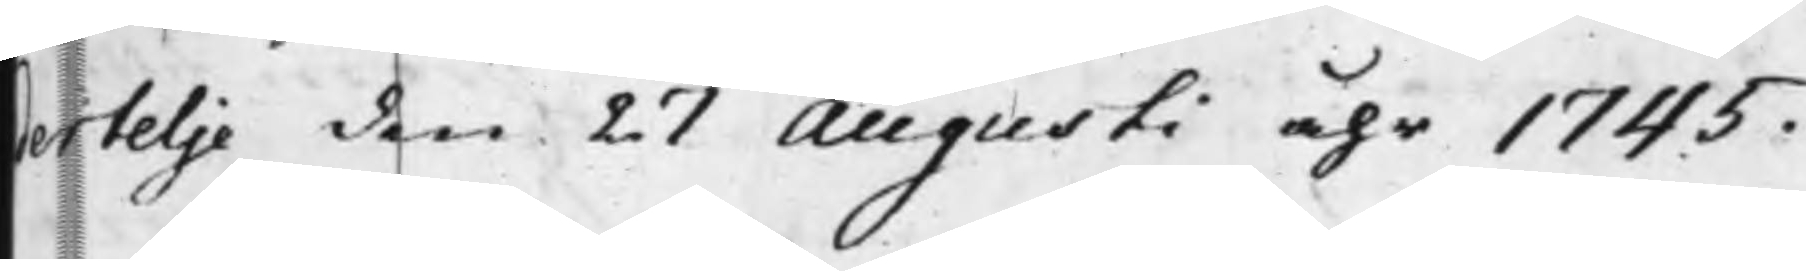dertelje den 27 Augusti åhr 1745.
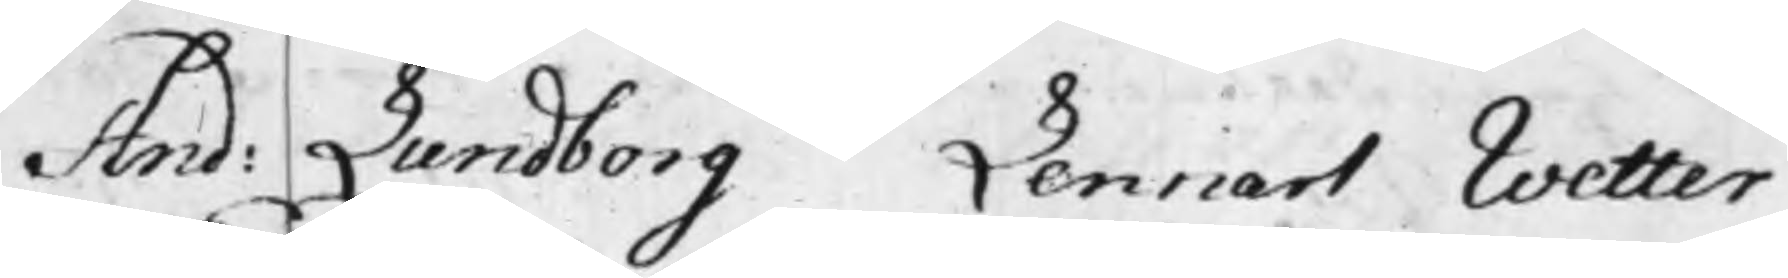And: Lundborg Lennart Wetter
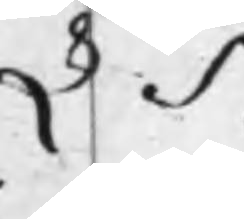L S
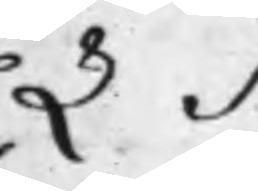L S
